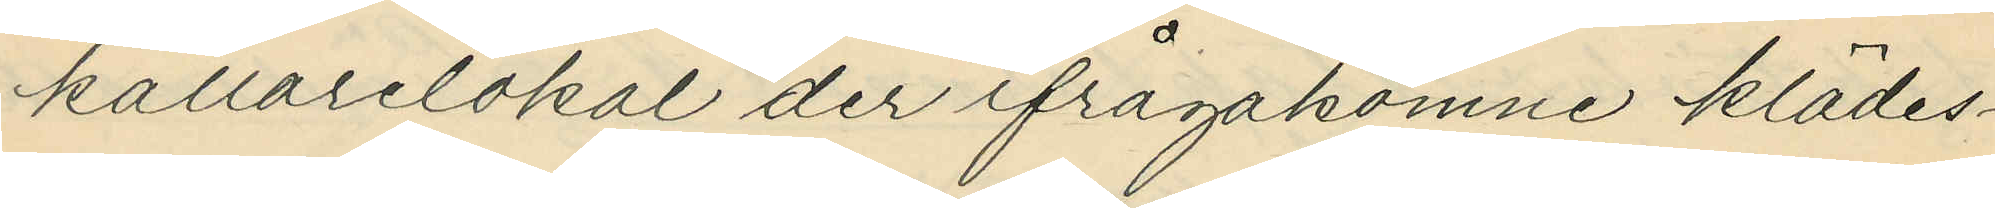källarelokal der ifrågakomne klädes¬
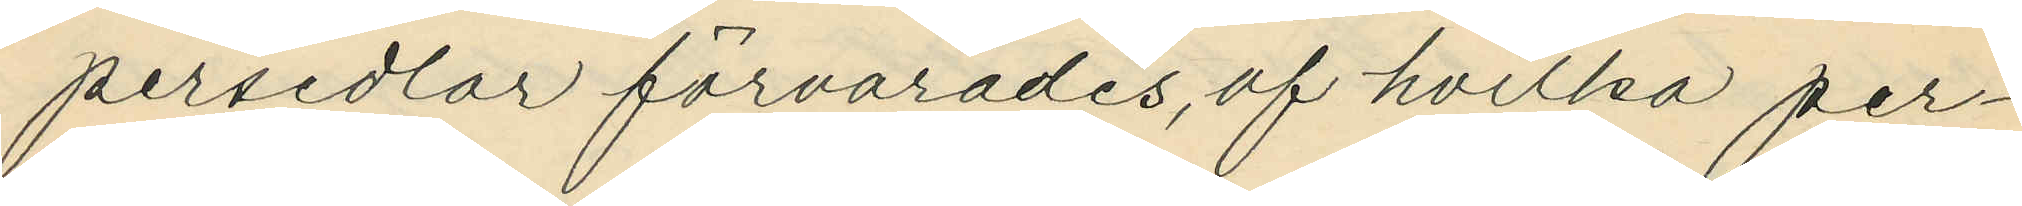persedlar förvarades, af hvilka per¬
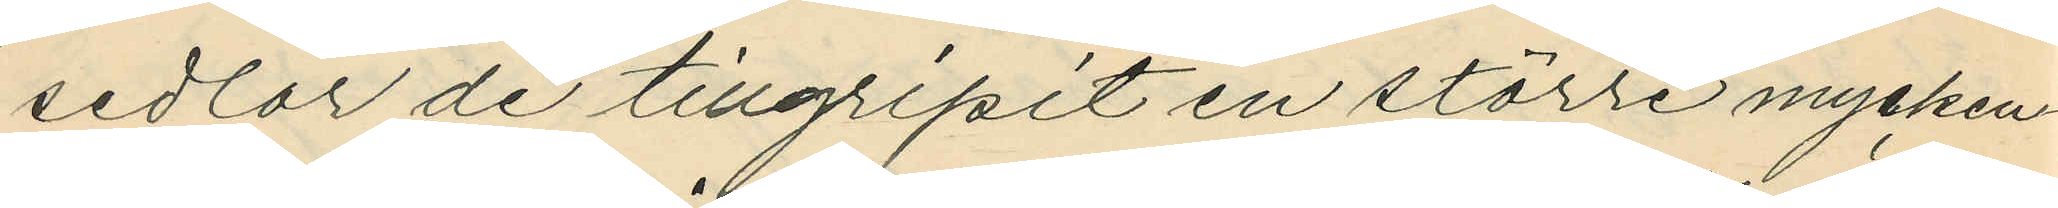sedlar de tillgripit en större mycken¬
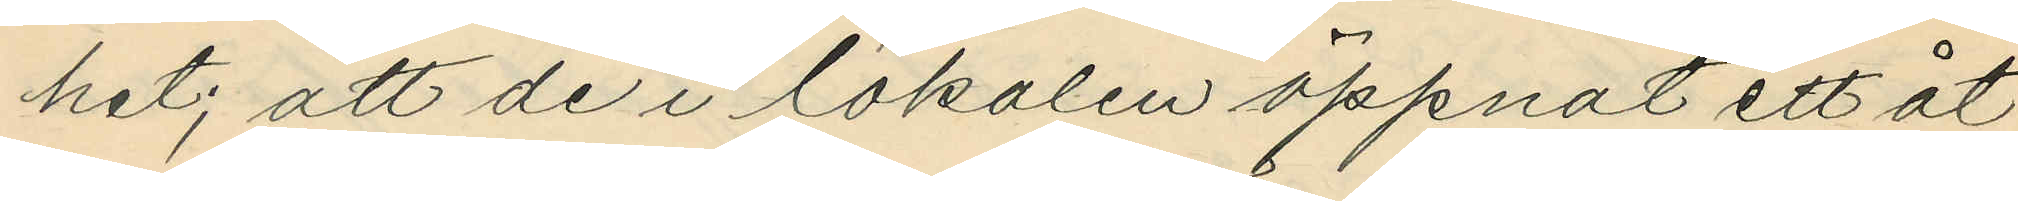het; att de i lokalen öppnat ett åt
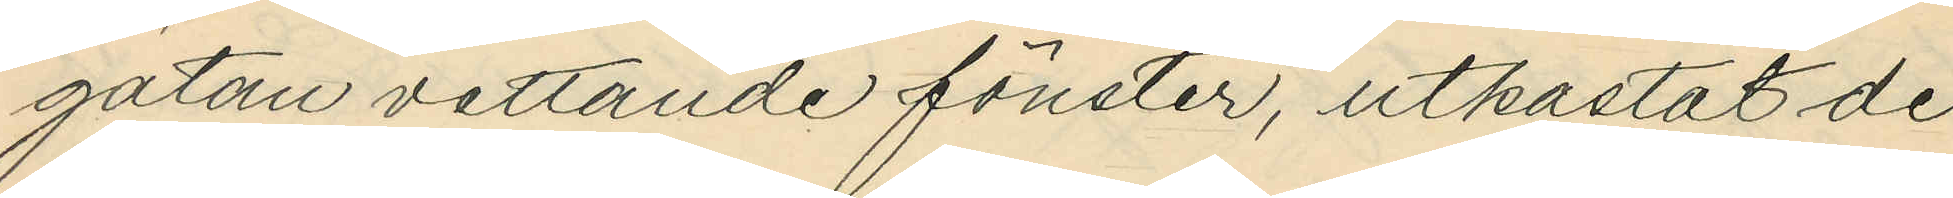gatan vettande fönster, utkastat de
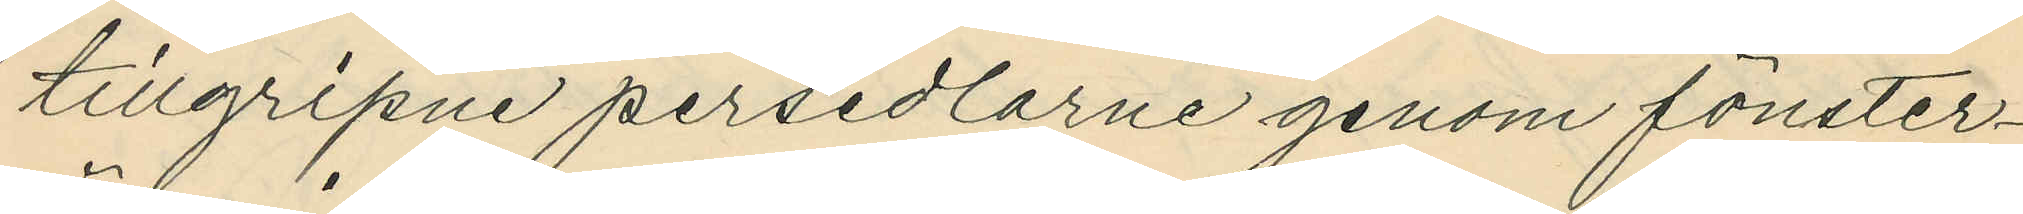tillgripne persedlarne genom fönster¬
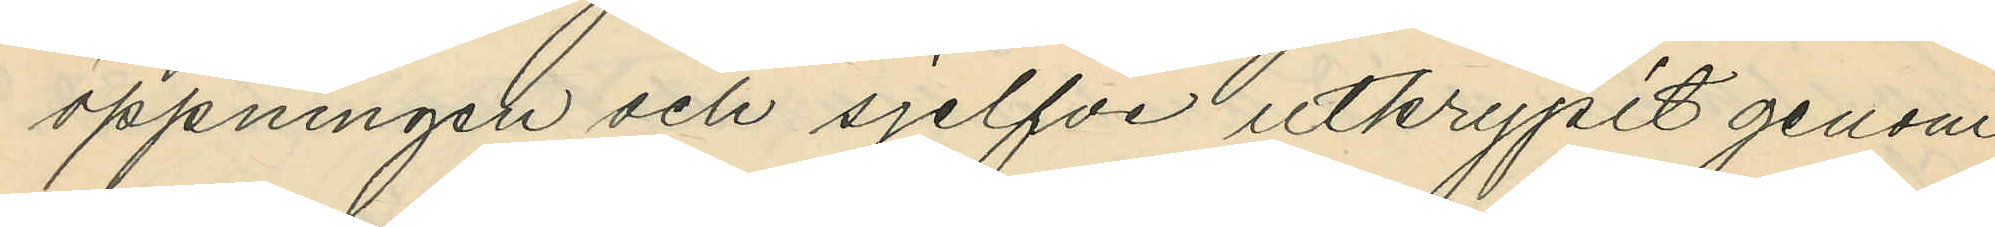öppningen och sjelfve utkrypit genom
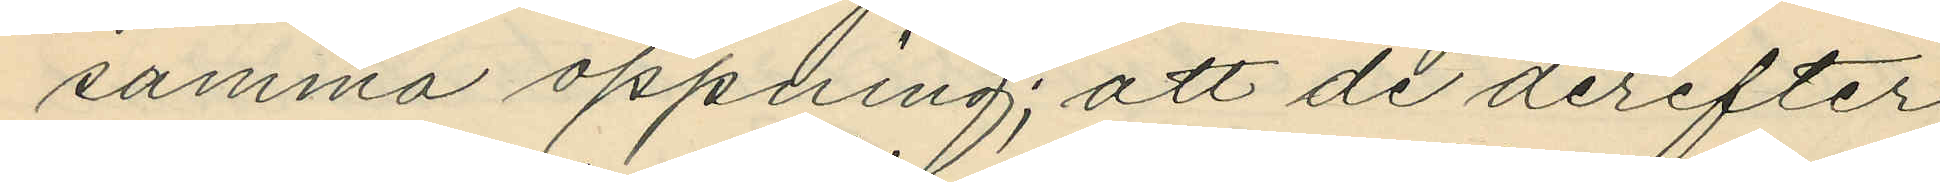samma öppning; att de derefter
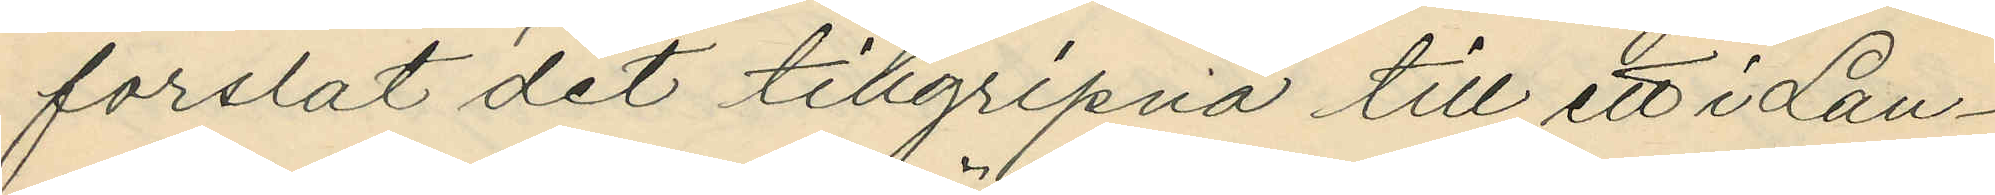forslat det tillgripna till ett i Lan¬
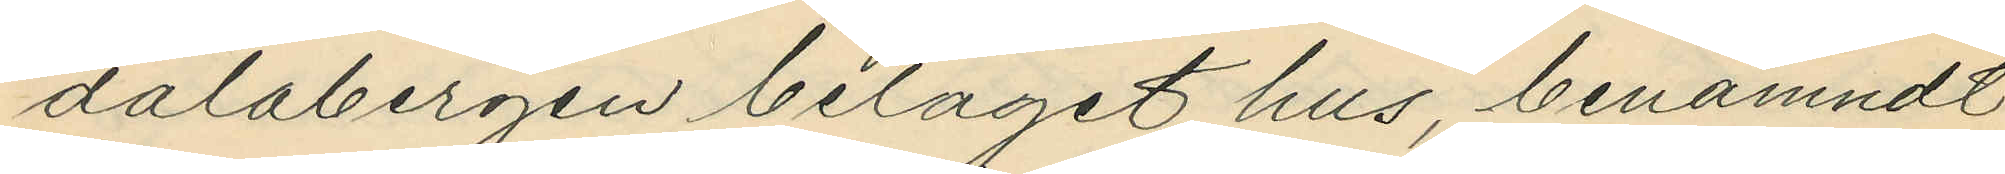dalabergen beläget hus, benämndt
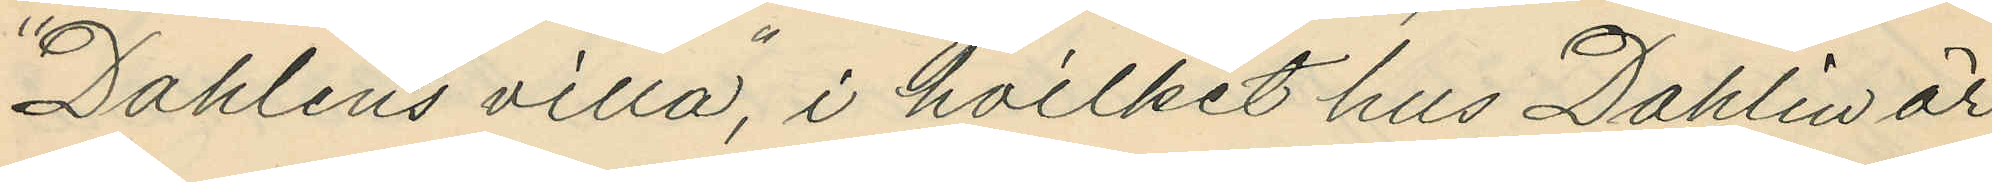"Dahlins villa", i hvilket hus Dahlin är
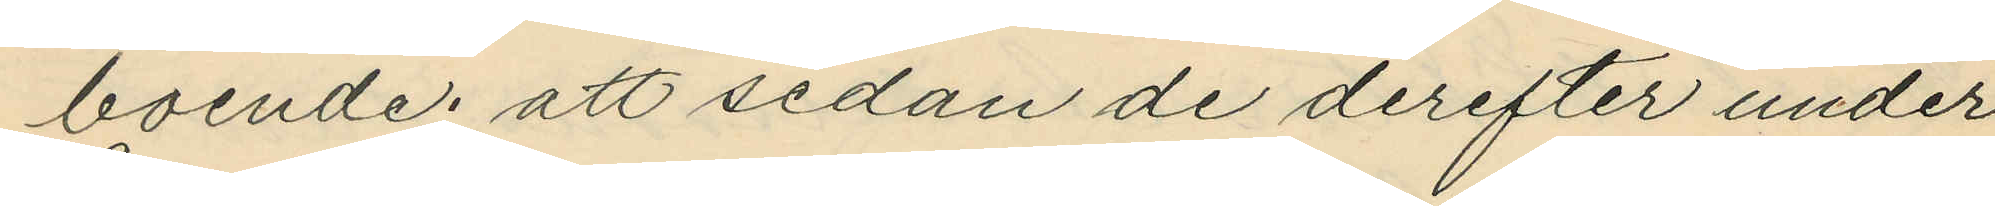boende; att sedan de derefter under
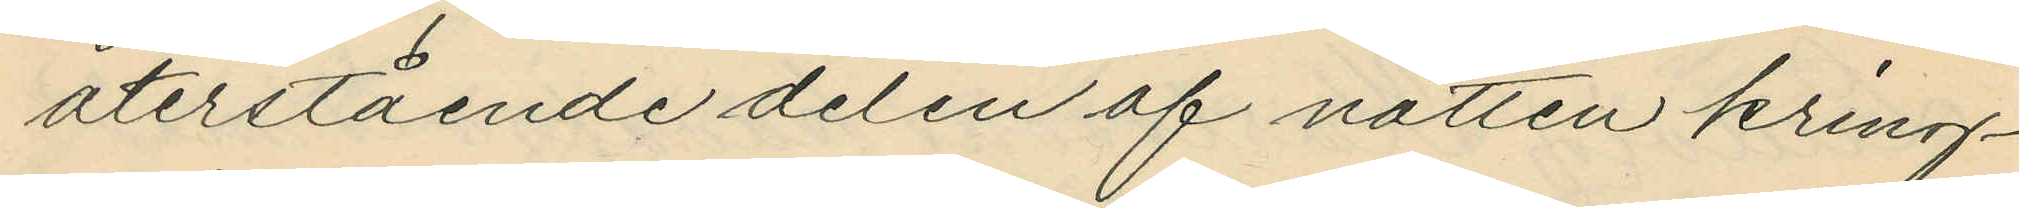återstående delen af natten kring¬
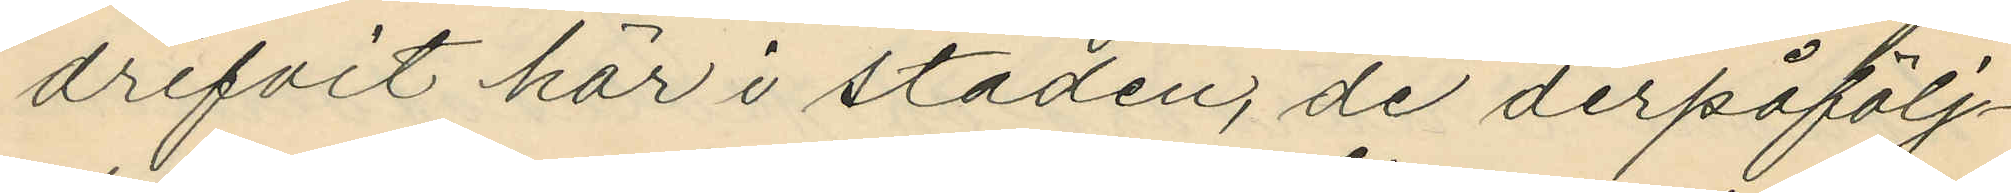drifvit här i staden, de derpåfölj¬
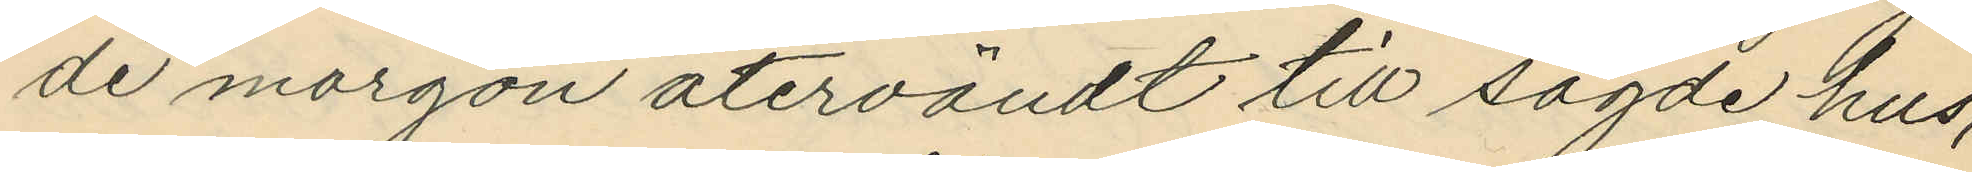de morgon återvändt till sagde hus,
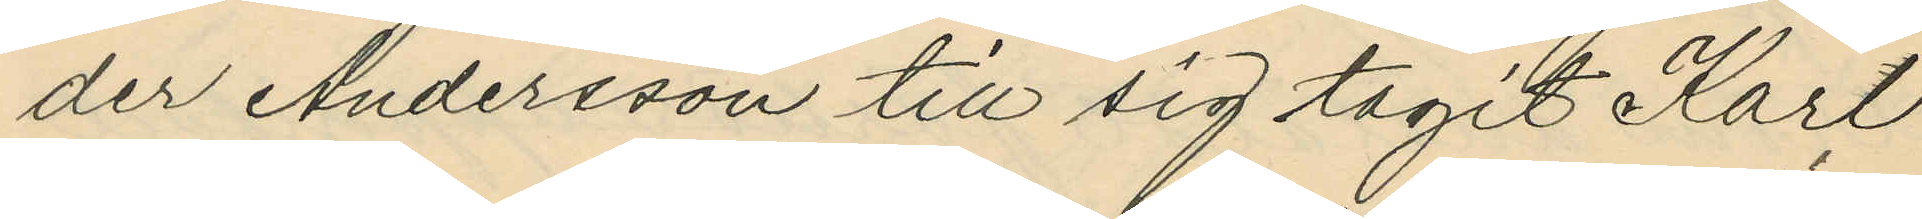der Andersson till sig tagit Karl
